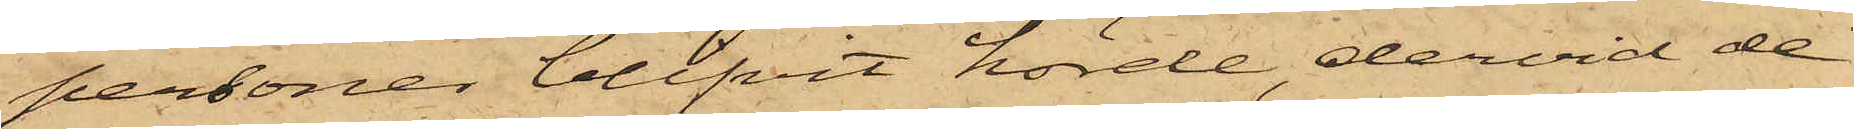personer blifvit hörde, dervid de
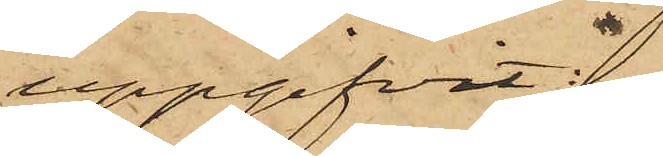uppgifvit:
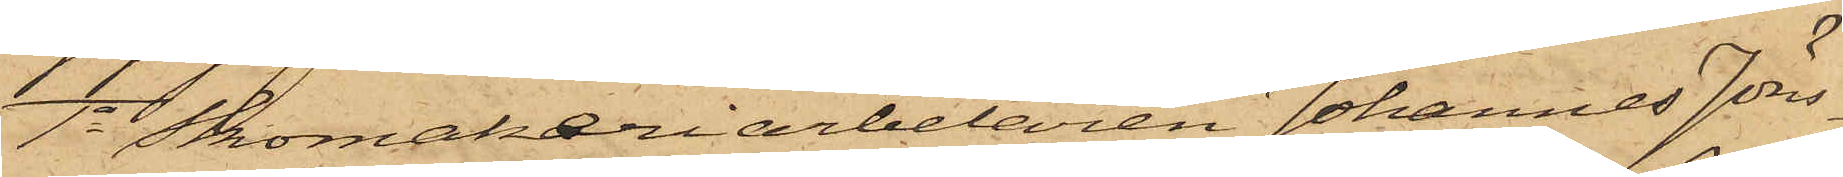1o Skomakeriarbetaren Johannes Jöns¬
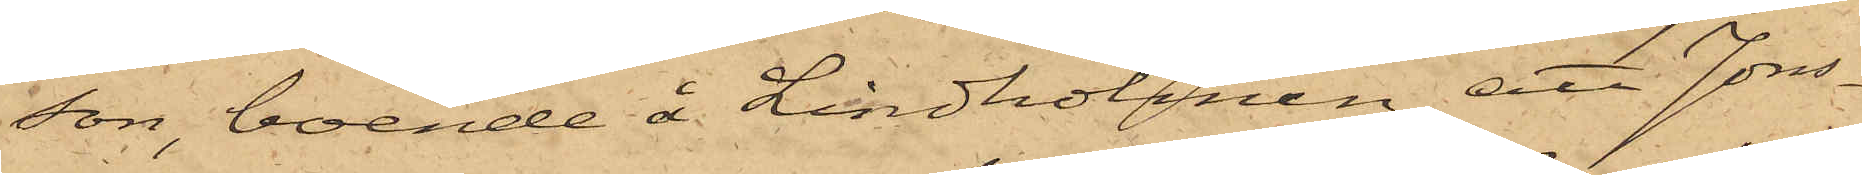son, boende å Lindholmen, att Jons¬
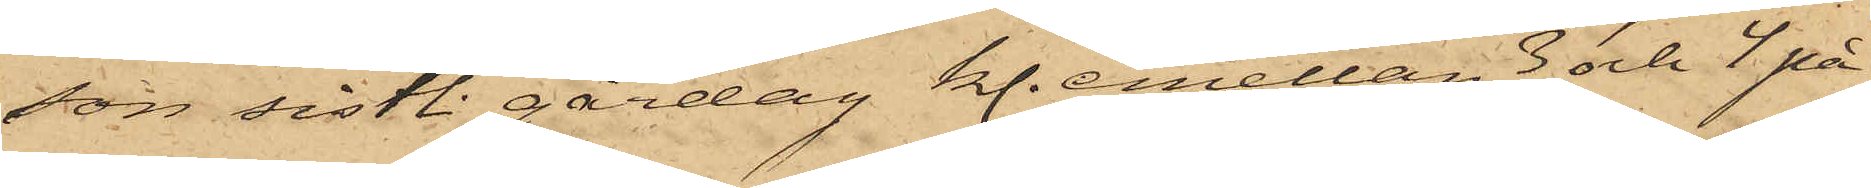son sistl. gårdag kl. emellan 3 och 4 på
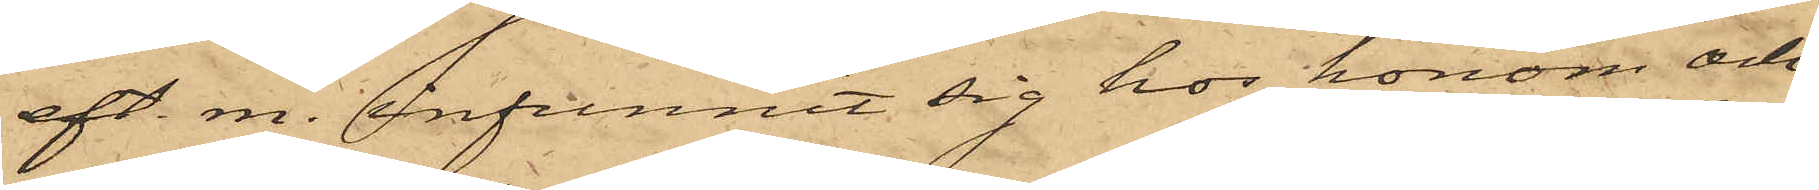eft. m. infunnit sig hos honom och
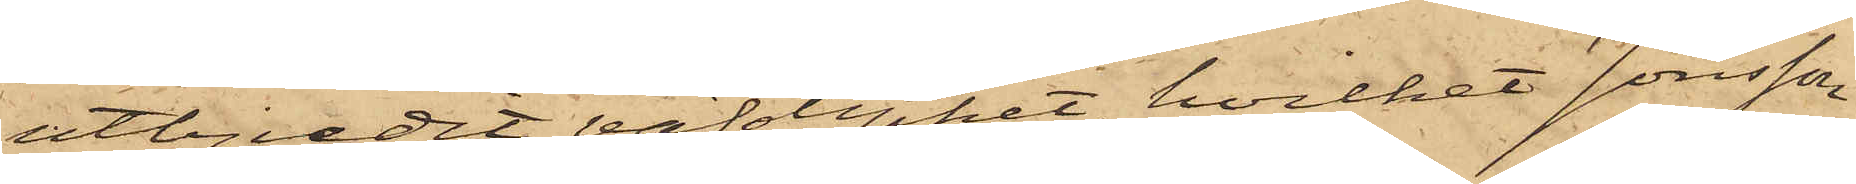utbjudit väfstycket, hvilket Jönsson
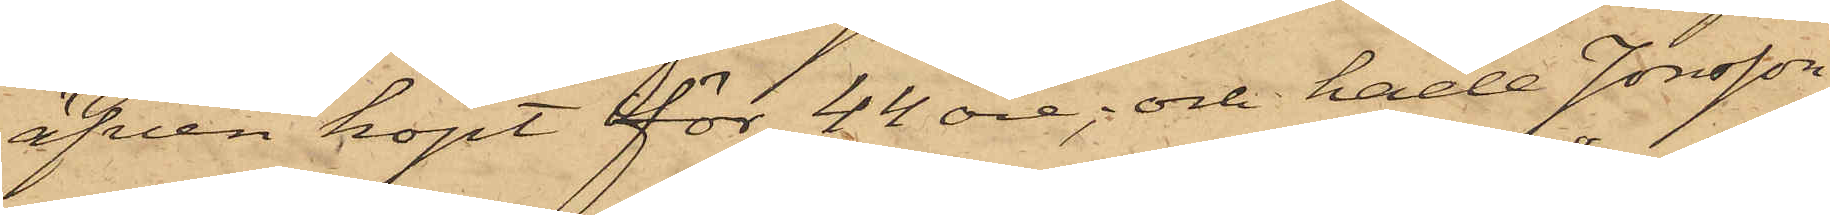äfven köpt för 44 öre; och hade Jonsson
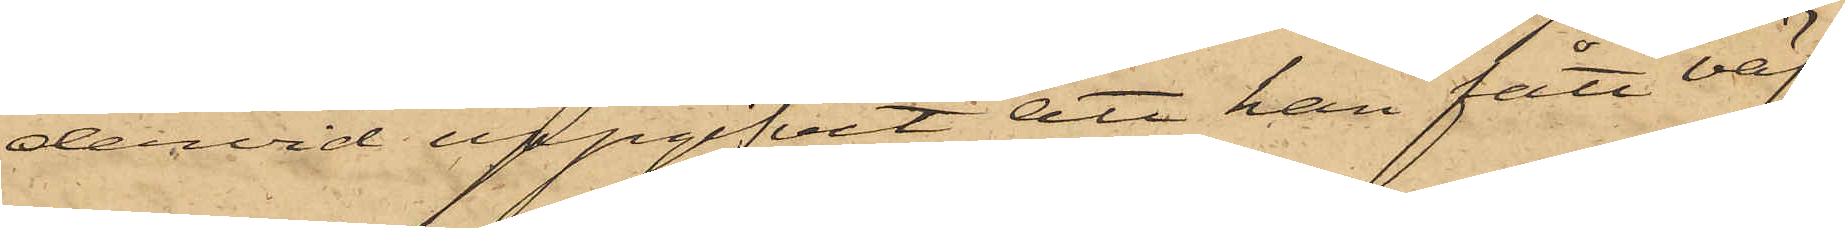dervid uppgifvit, att han fått väf¬
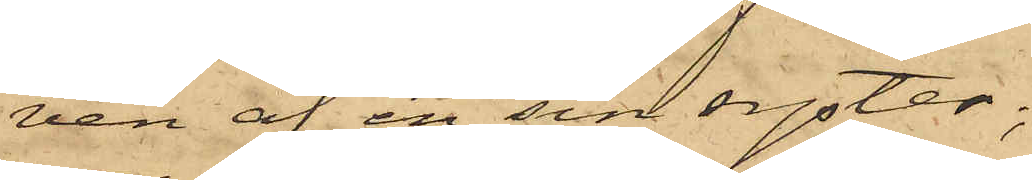ven af en sin syster;
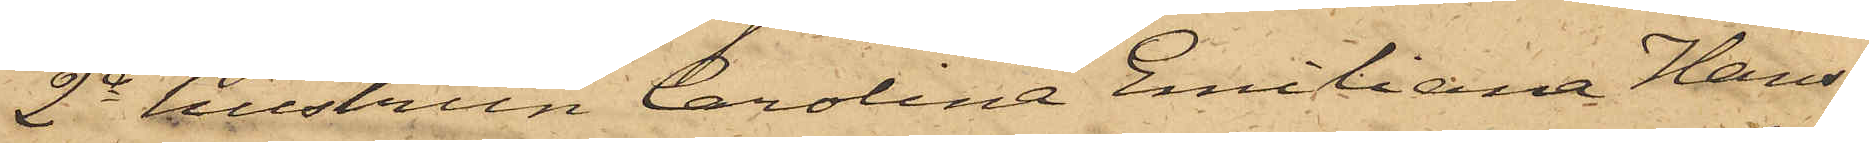2o hustrun Carolina Emiliana Hans¬
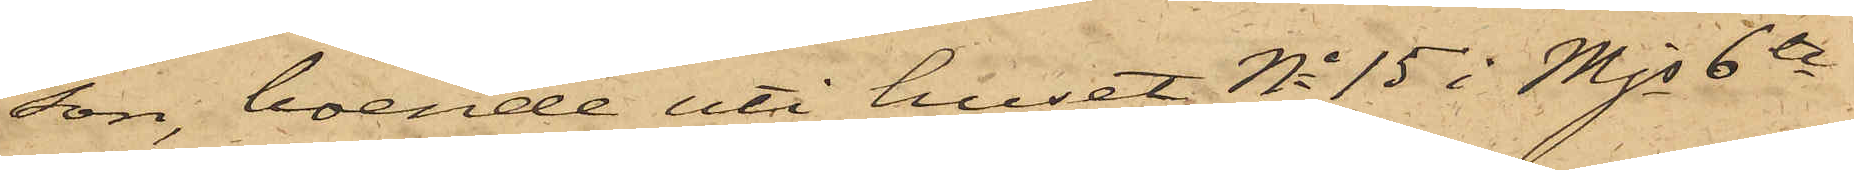son, boende uti huset No 15 i Mjs 6te
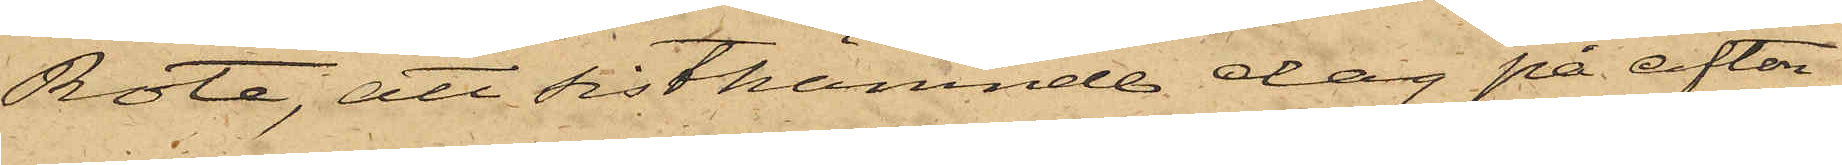Rote, att sistnämnde dag på afton
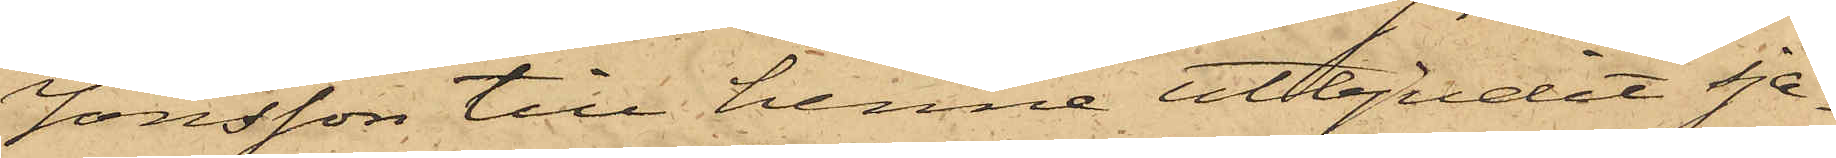Jonsson till henne utbjudit sja¬
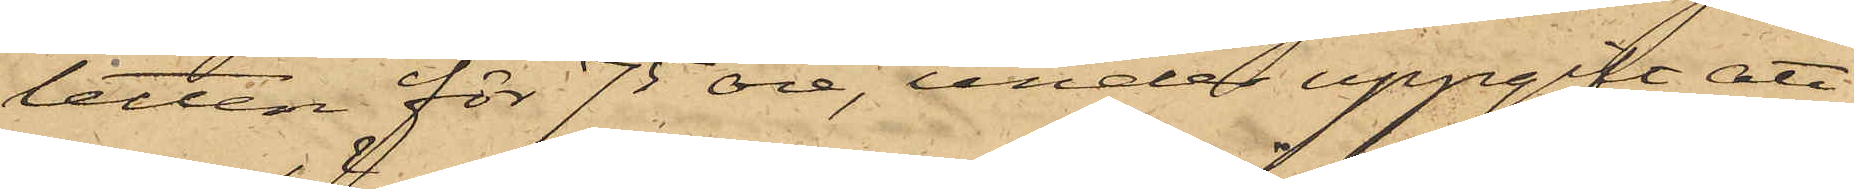letten för 75 öre, under uppgift att
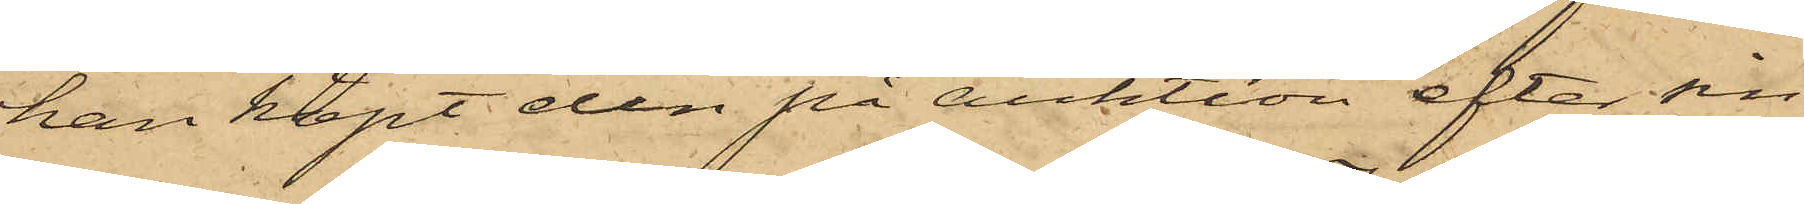han köpt den på auktion efter sin
